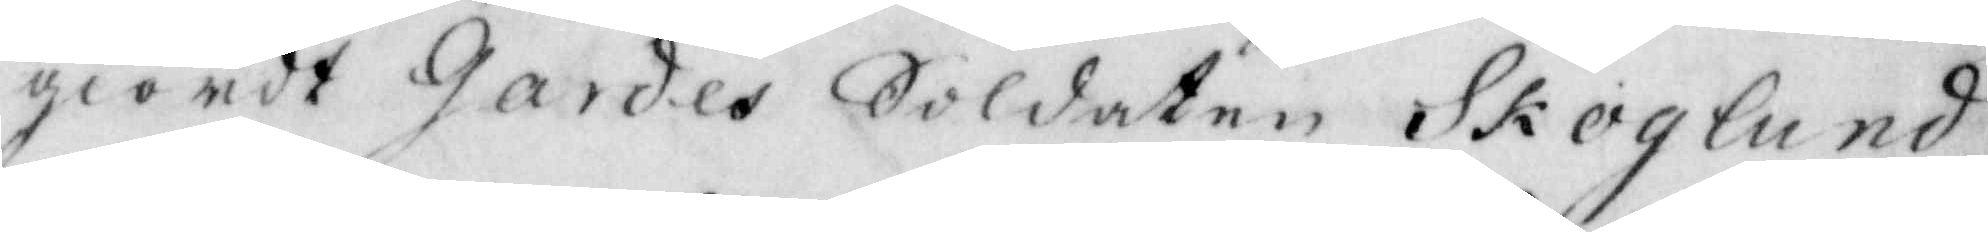giordt Gardes Soldaten Skoglund
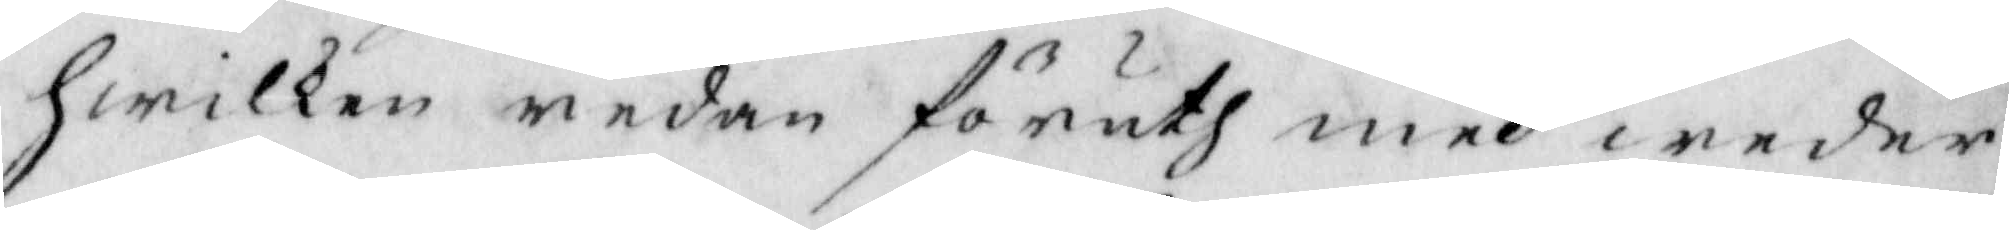hwilken redan föruth med weder¬
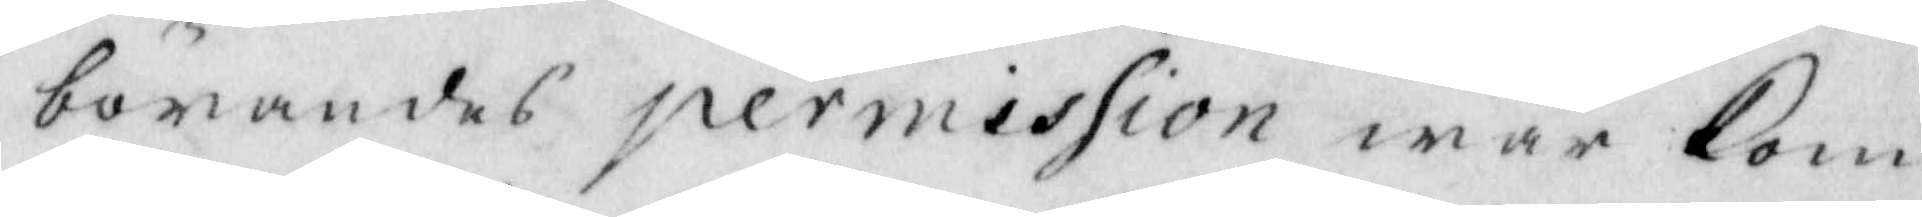börandes permission war kom¬
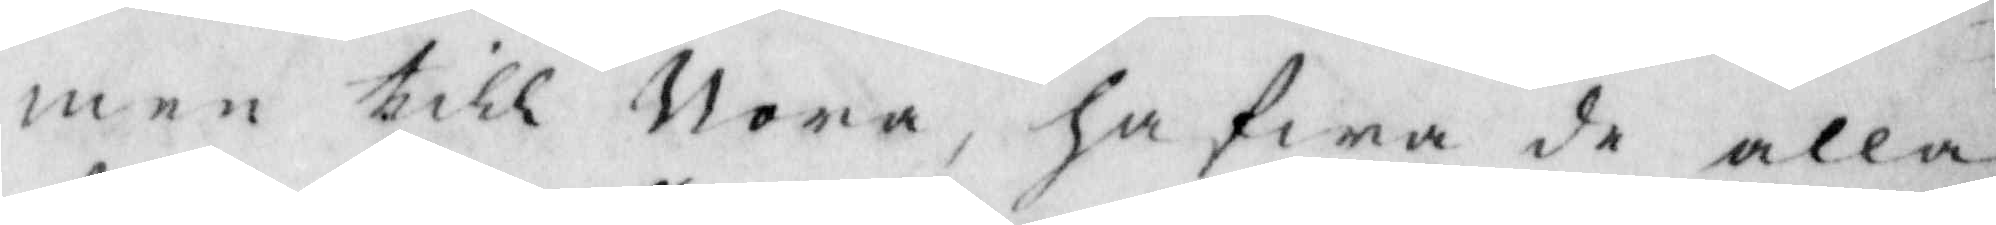men till Nora, hafwa de alla
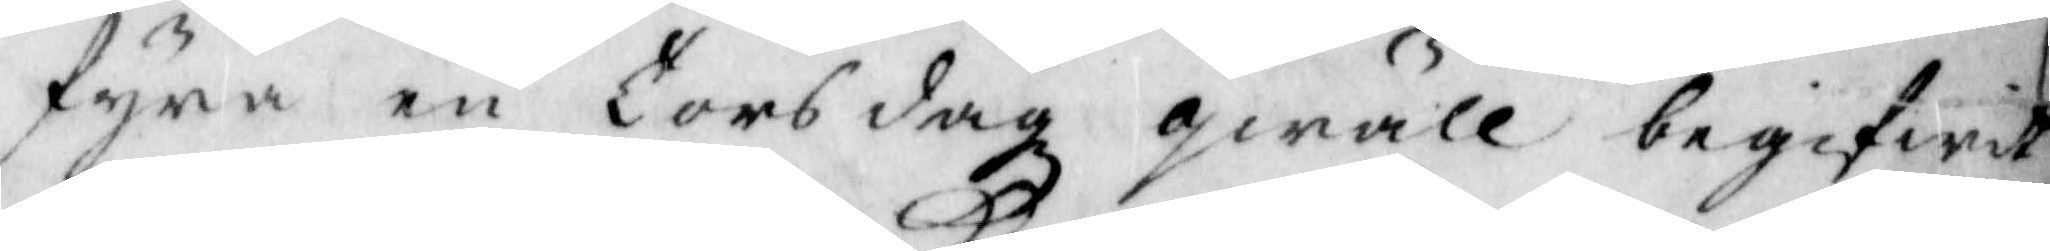fyra en Torsdagz qwäll begifwit
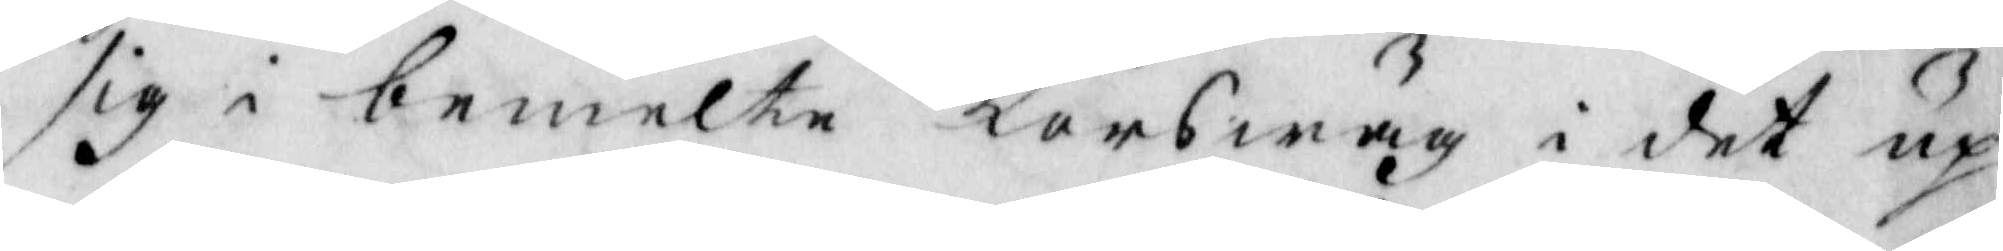sig i bemelte Korswäg i det up¬
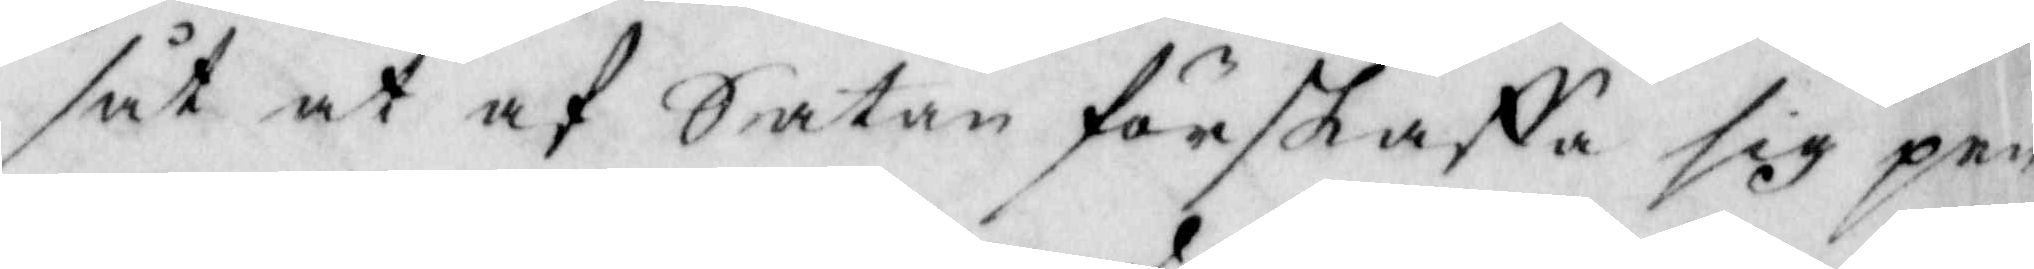såt at af Satan förskaffa sig pen¬
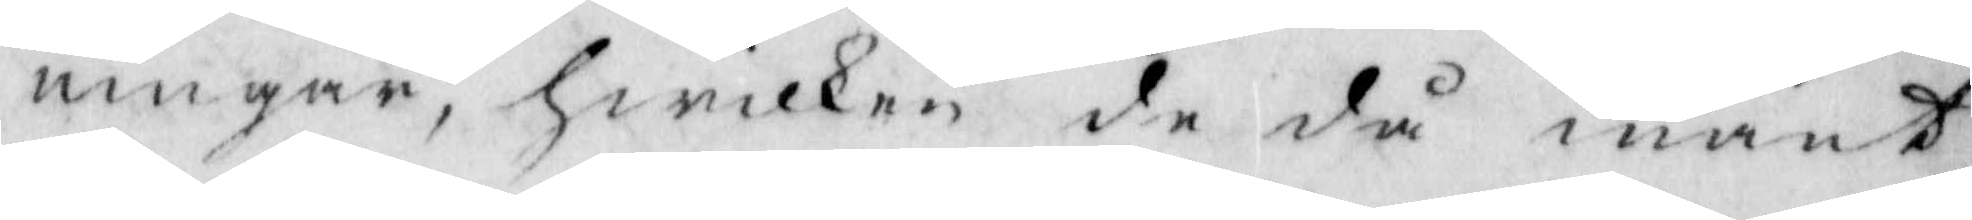ningar, hwilken de då mant
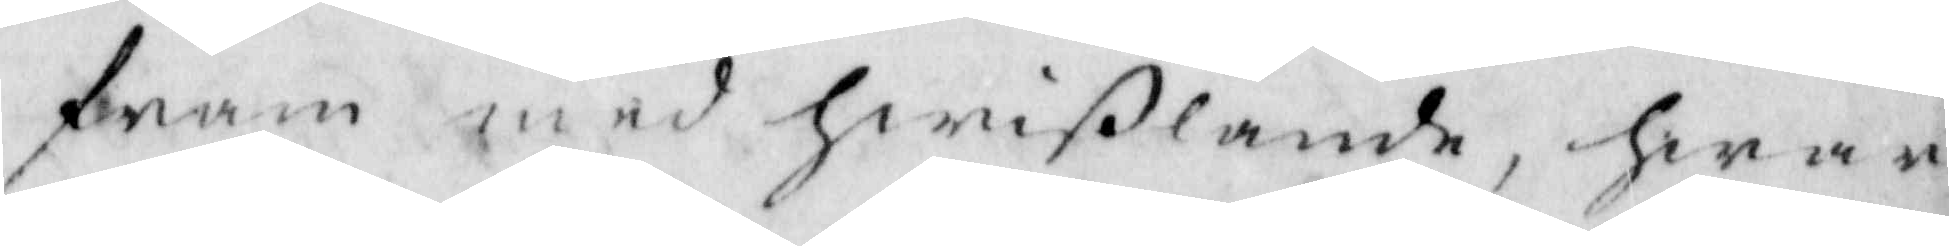fram med hwißlande, hwar
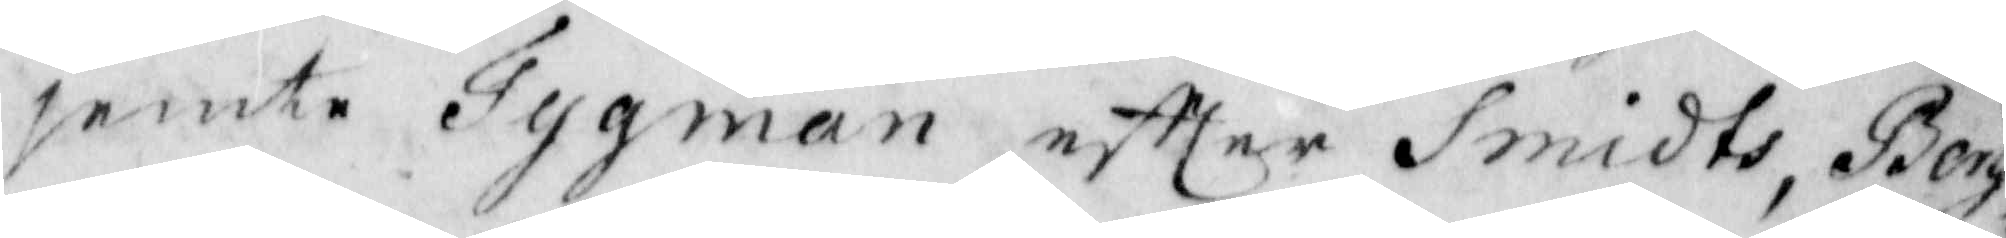jemte Tygman eftter Smidts, Berg¬
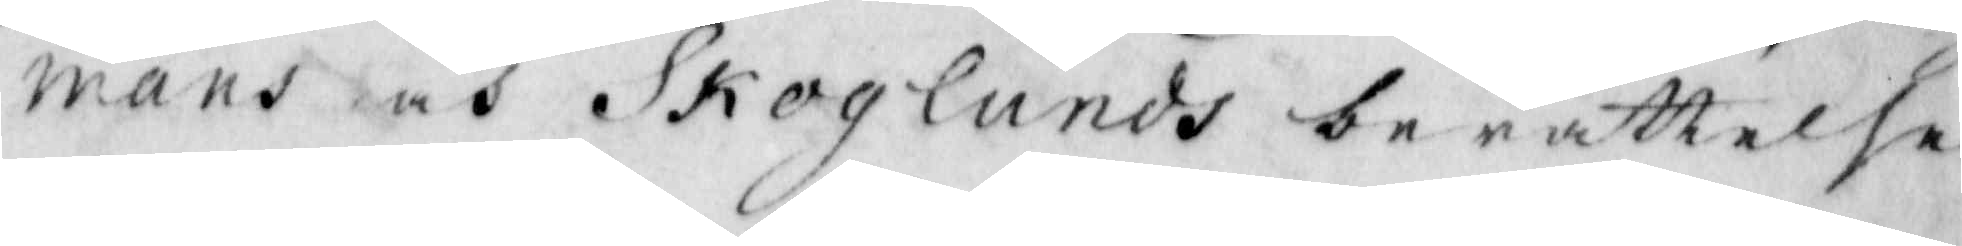mans och Skoglunds berättelse
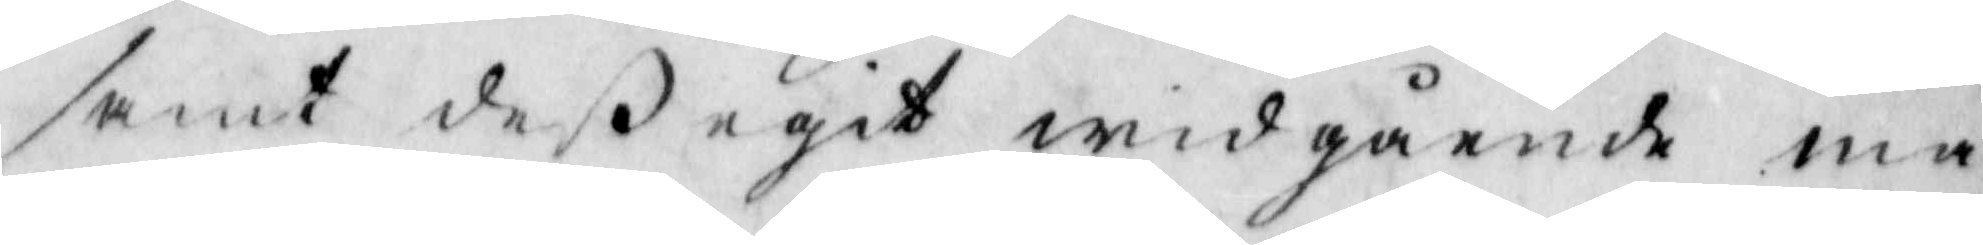samt deß egit widgående mn¬
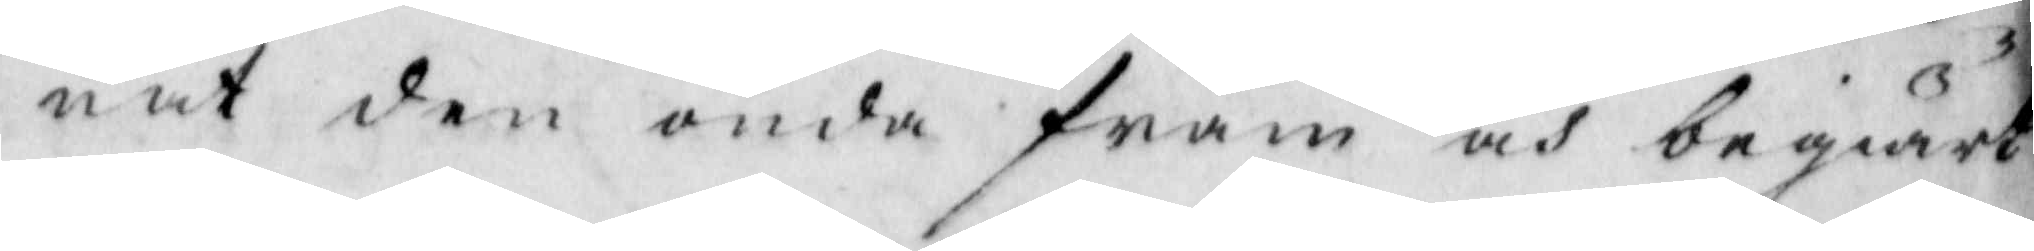nat den onde fram och begiärt
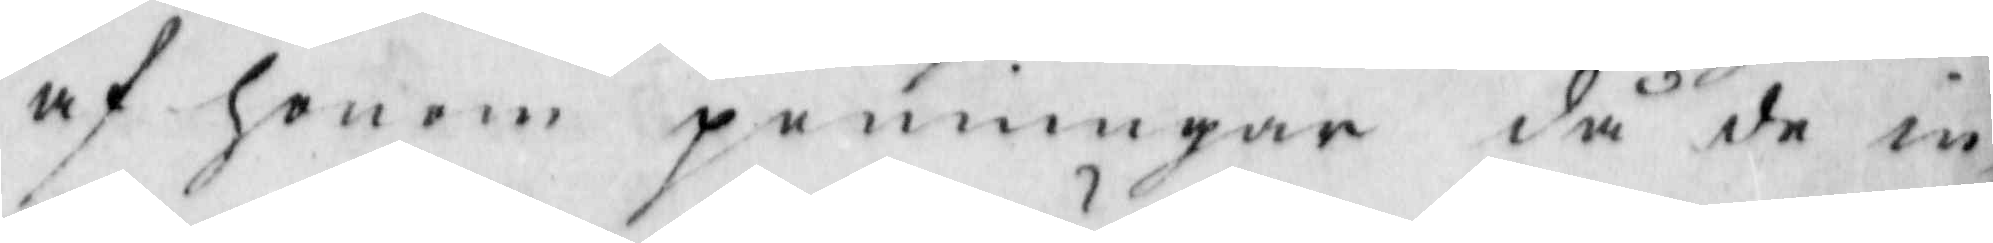af honom penningar då de in¬
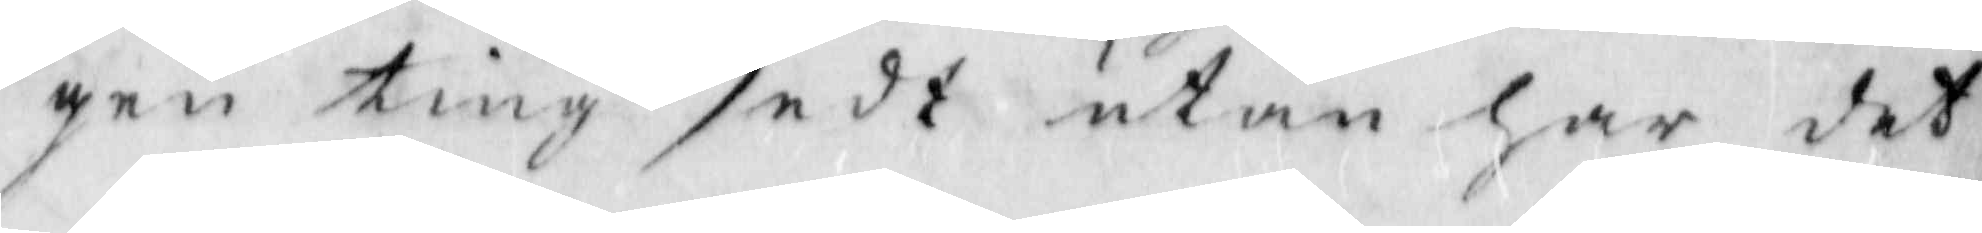gen ting sedt utom har det
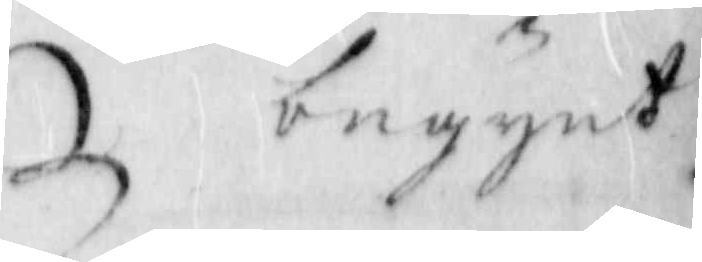begynt
